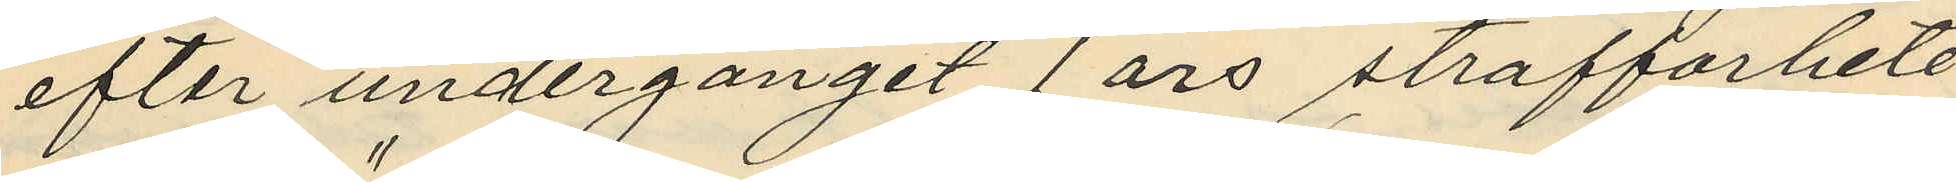efter undergånget 1 års straffarbete
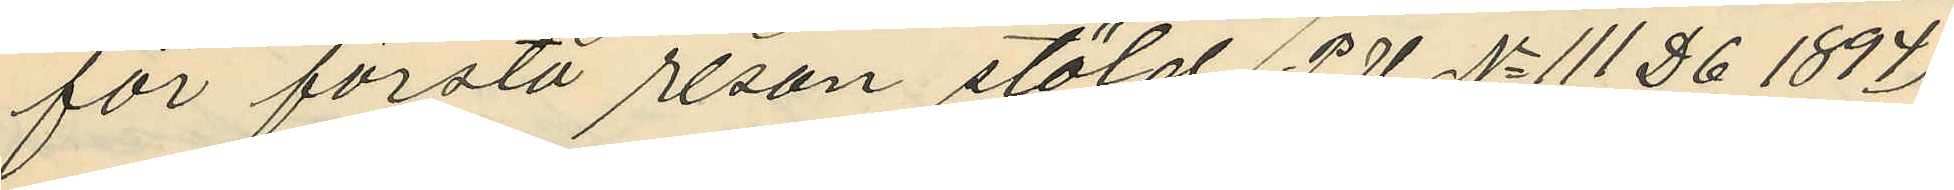för första resan stöld (P.U. No 111 D 6 1894)
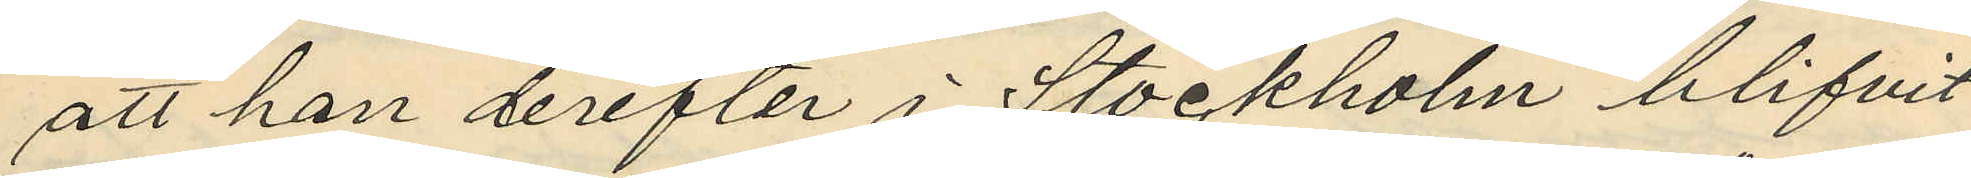att han derefter i Stockholm blifvit
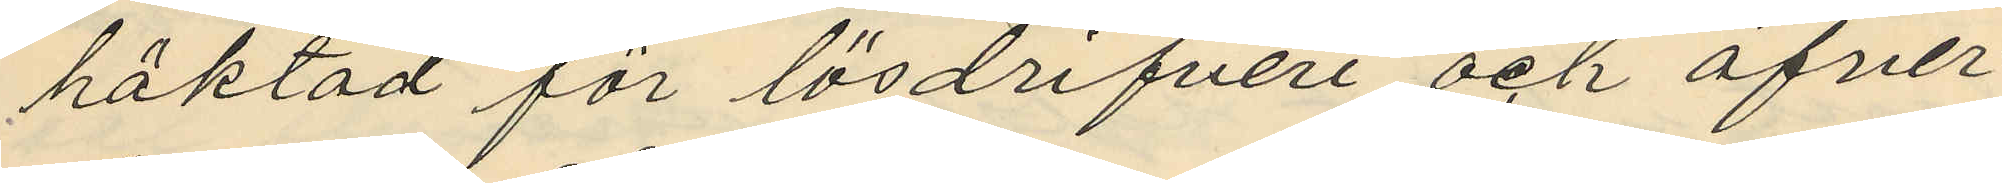häktad för lösdrifveri och öfver¬
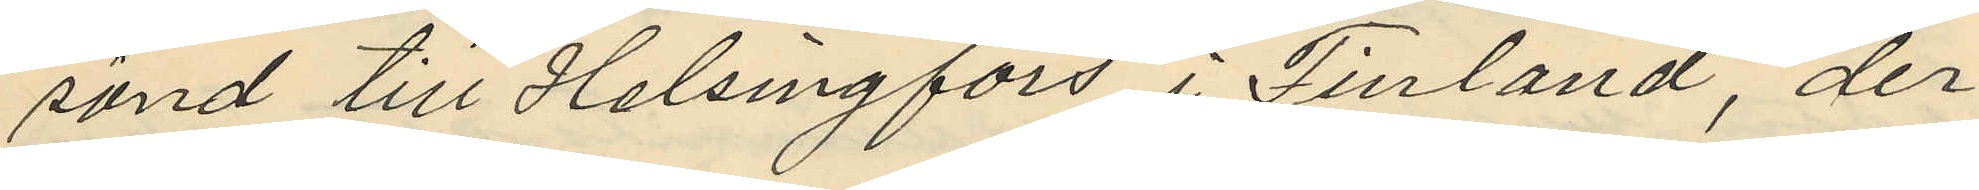sänd till Helsingfors i Finland, der
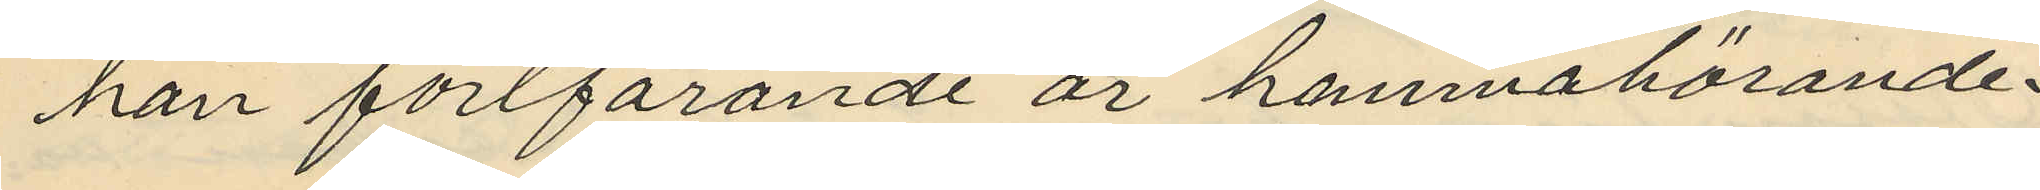han fortfarande är hemnahörande
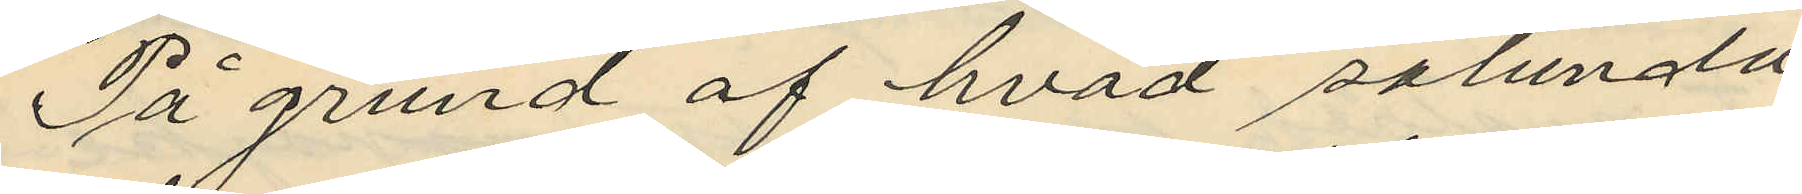På grund af hvad sålunda
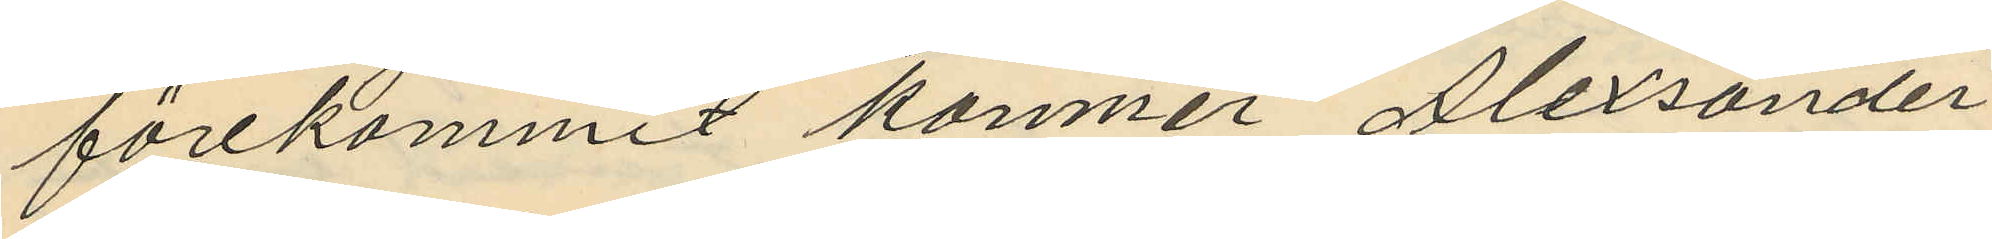förekommit kommer Alexander
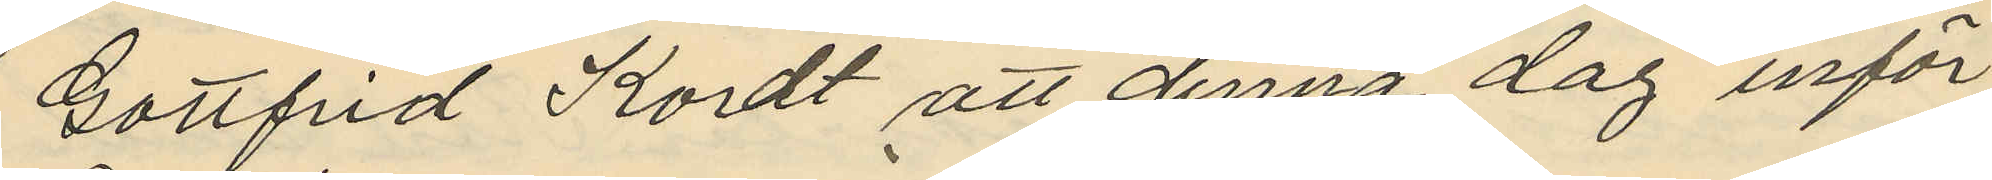Gottfrid Kordt att denna dag inför
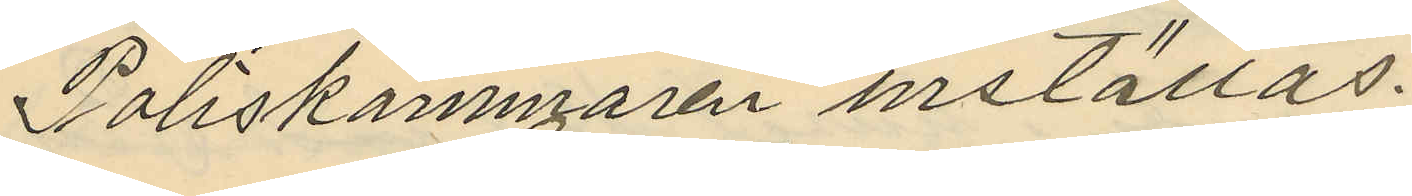Poliskammaren inställas.
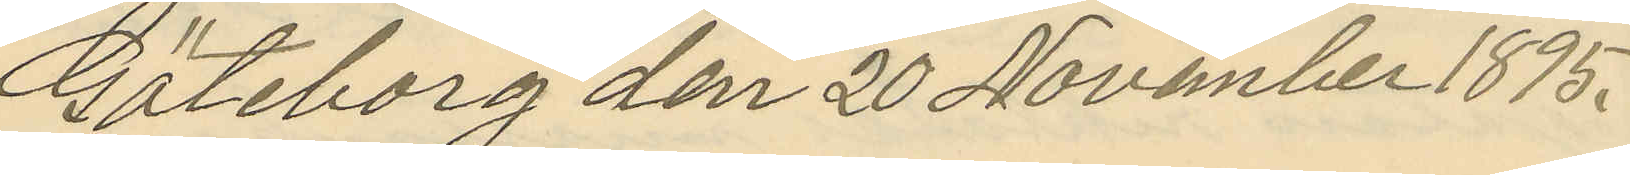Göteborg den 20 November 1895.
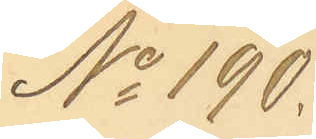No 190.
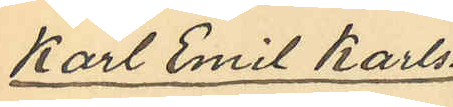Karl Emil Karls¬
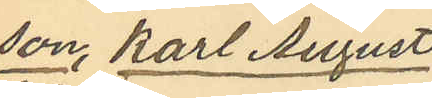son, Karl August
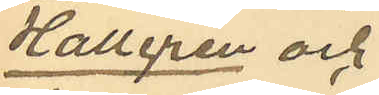Hallgren och
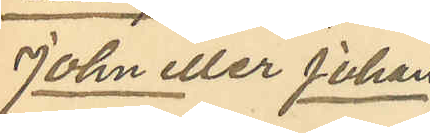John eller Johan
